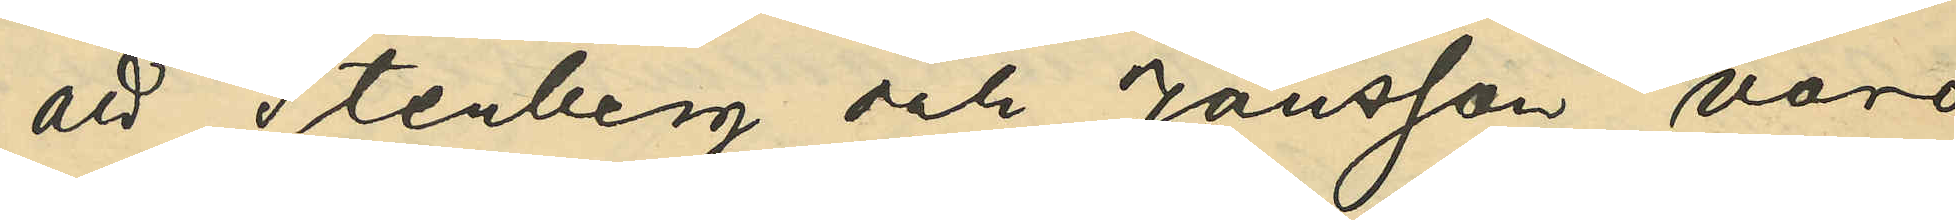att Stenberg och Jönsson voro
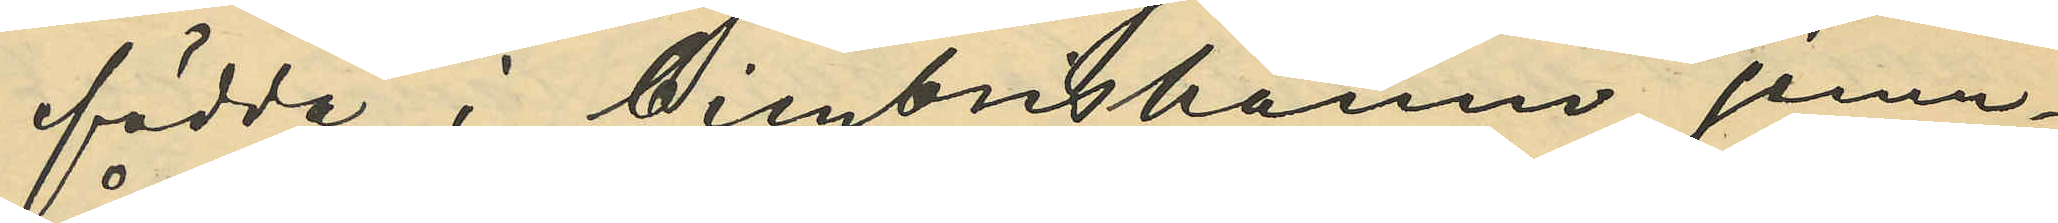födde i Cimbrishamn, jemn¬
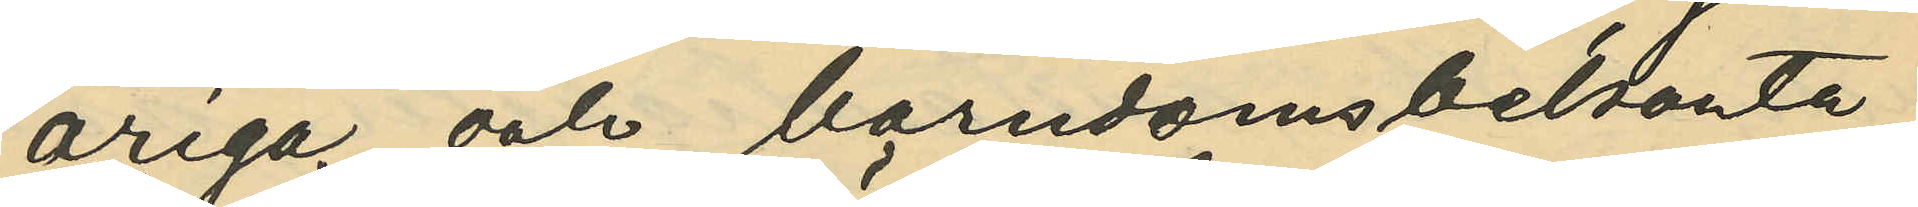åriga och barndomsbekanta;
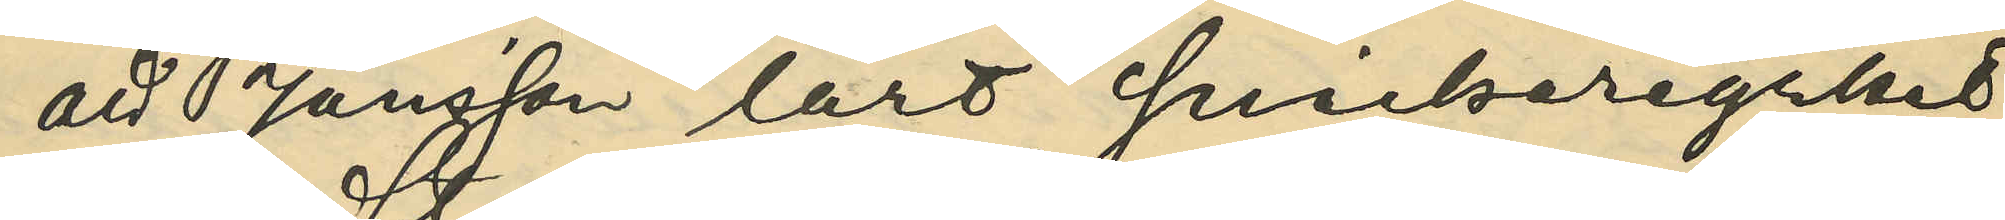att Jönsson lärt snickeriyrket
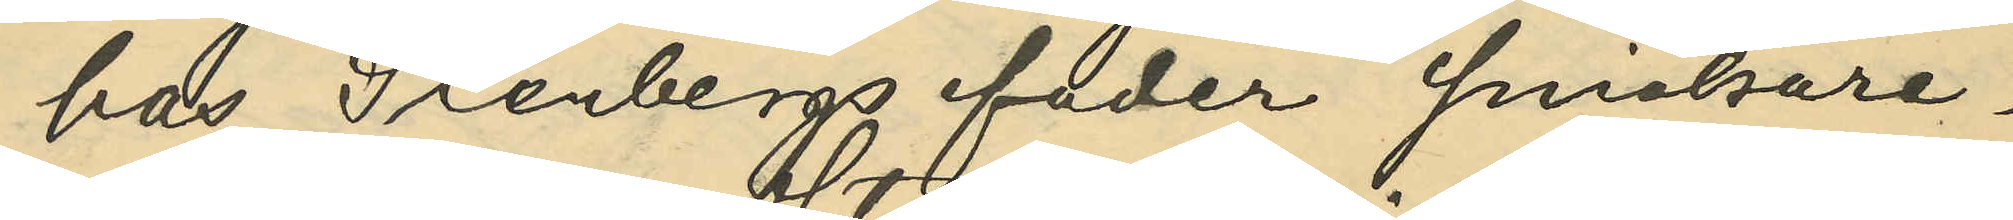hos Stenbergs fader snickare¬
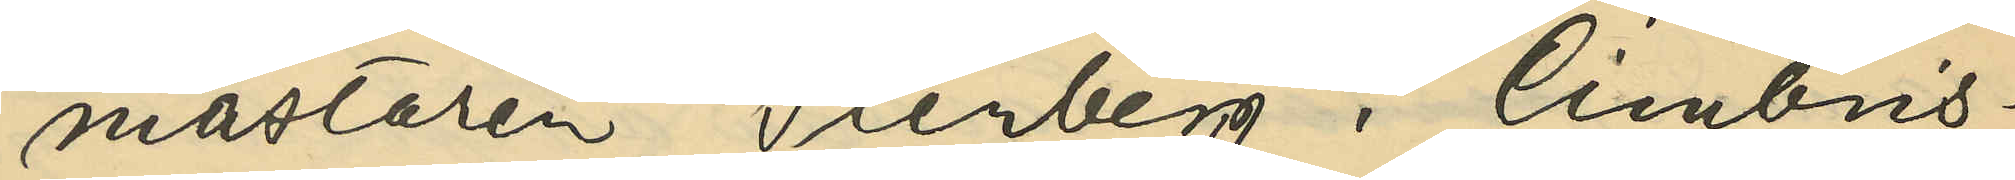mästaren Stenberg i Cimbris¬
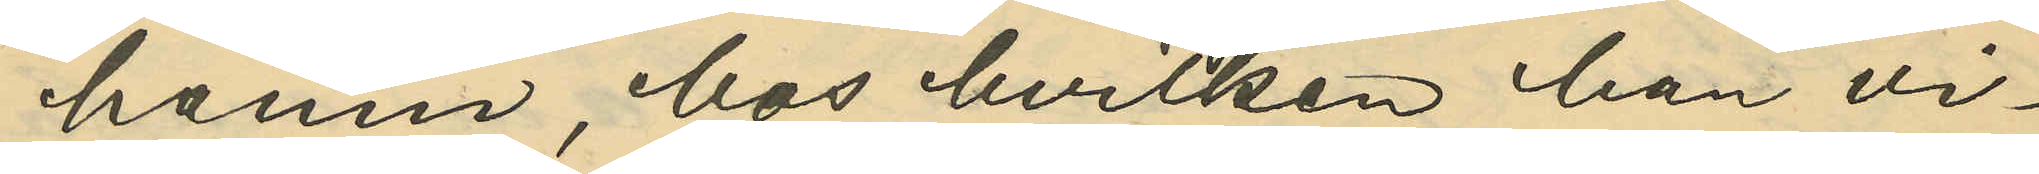hamn, hos hvilken han vi¬
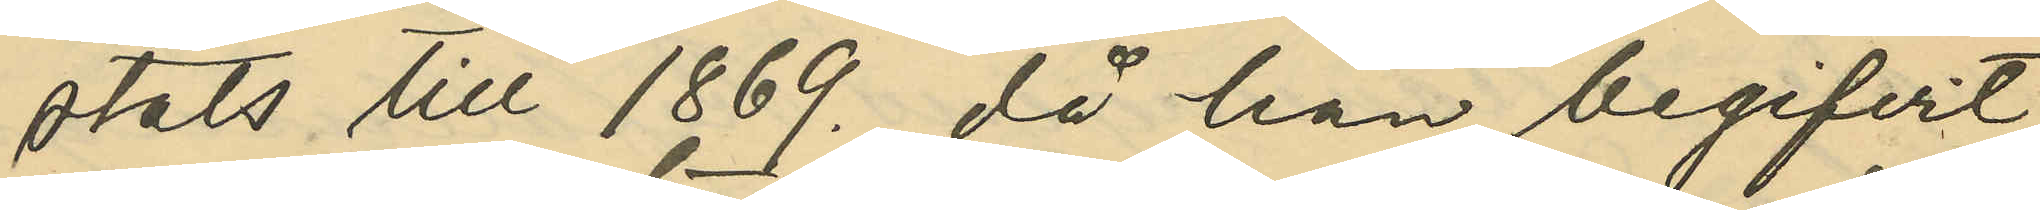stats till 1869., då han begifvit
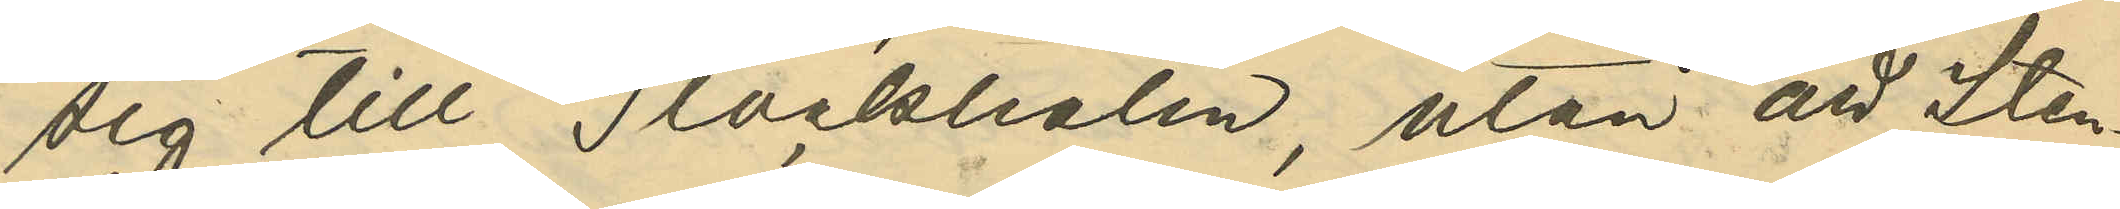sig till Stockholm, utan att Sten¬
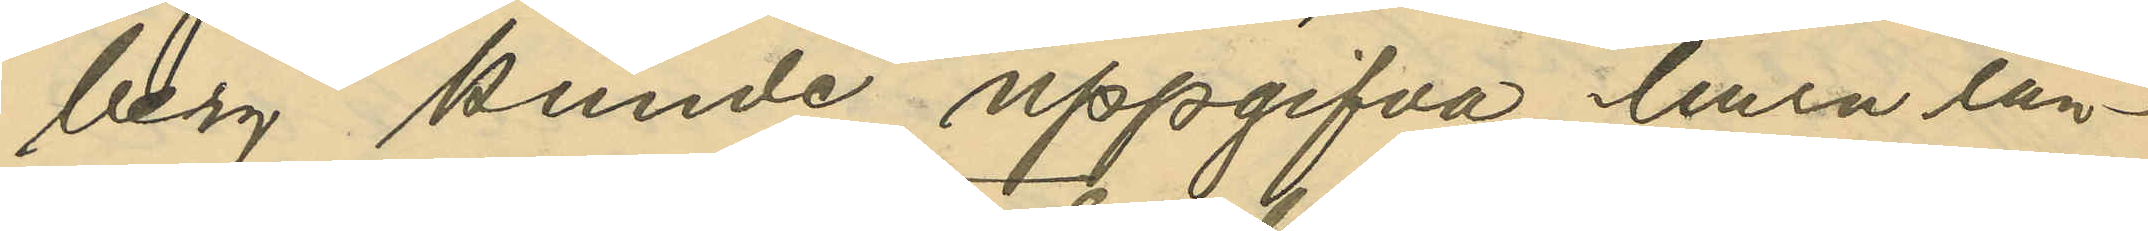berg, kunde uppgifva, huru län¬
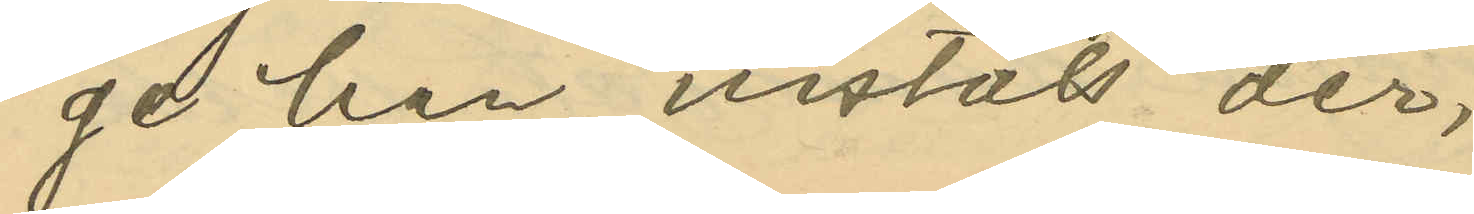ge han vistats der;
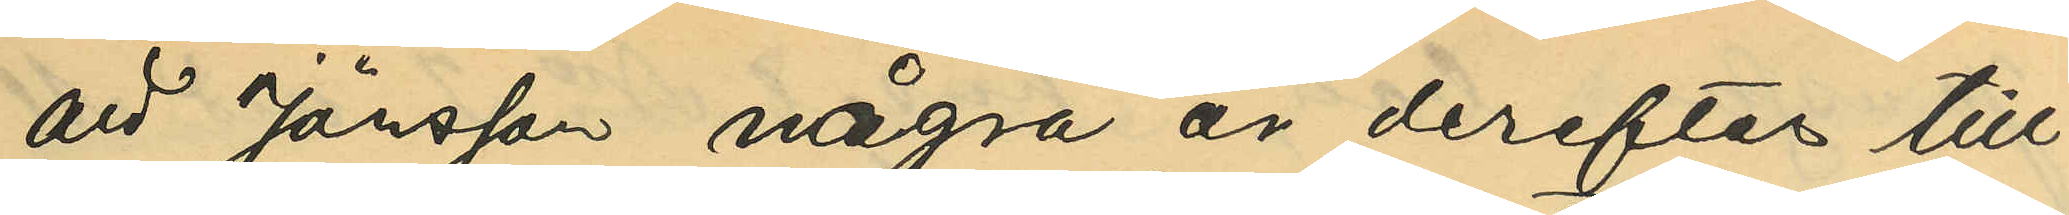att Jönsson några år derefter till¬
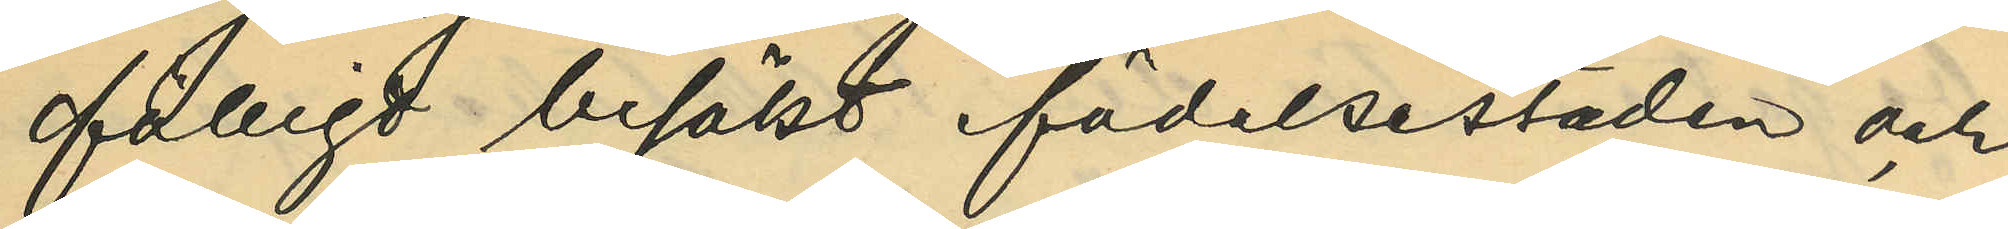fälligt besökt födelsestaden och 
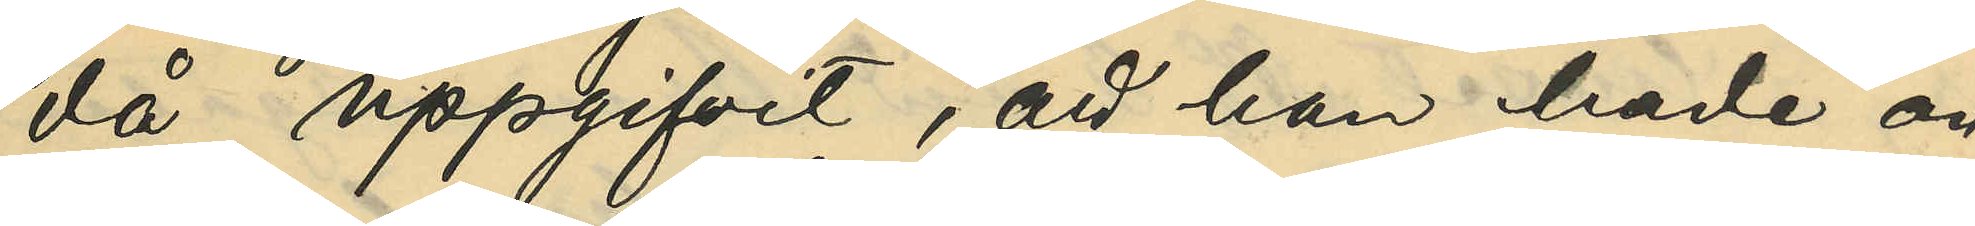då uppgifvit, att han hade an¬
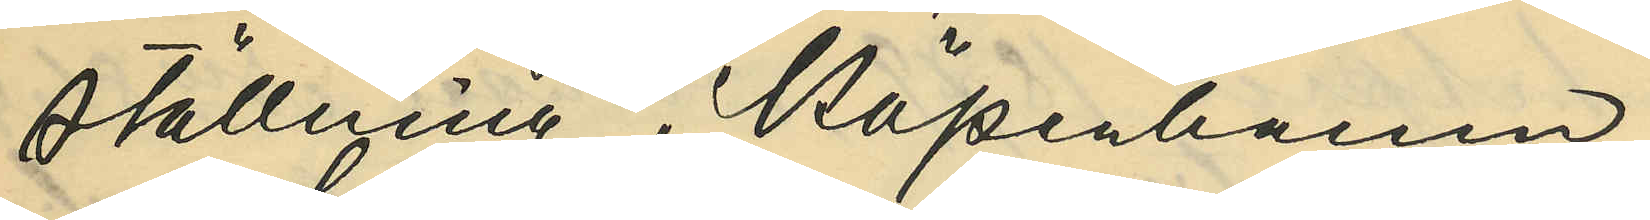ställning i Köpenhamn;
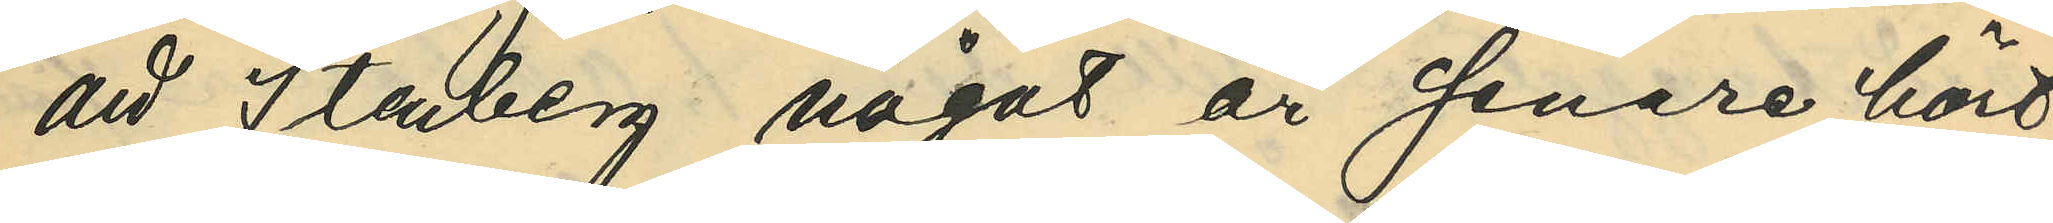att Stenberg något år senare hört
